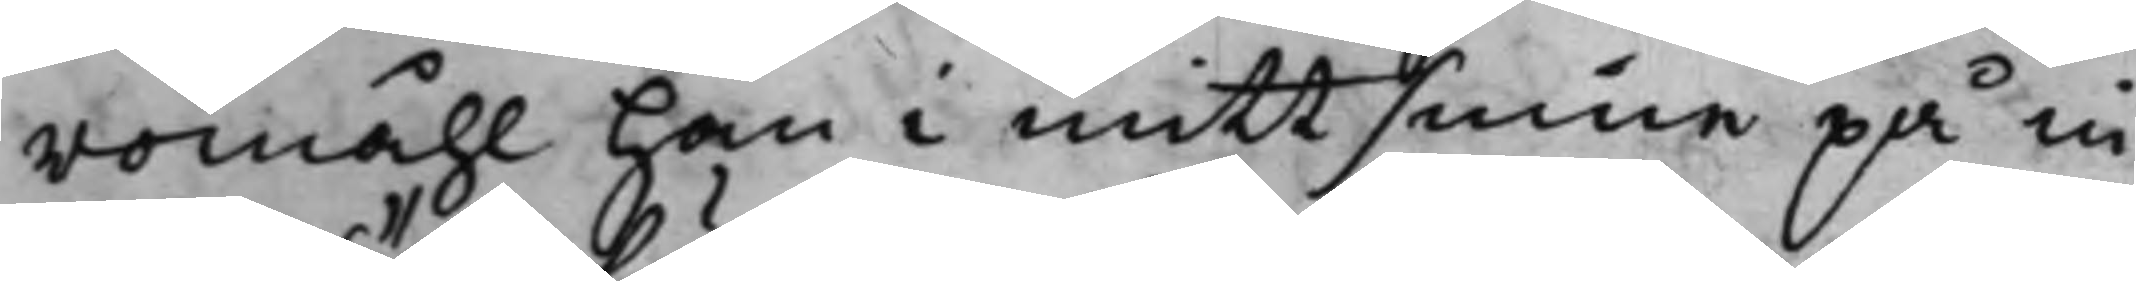romåhl han i mitt sinne på in¬
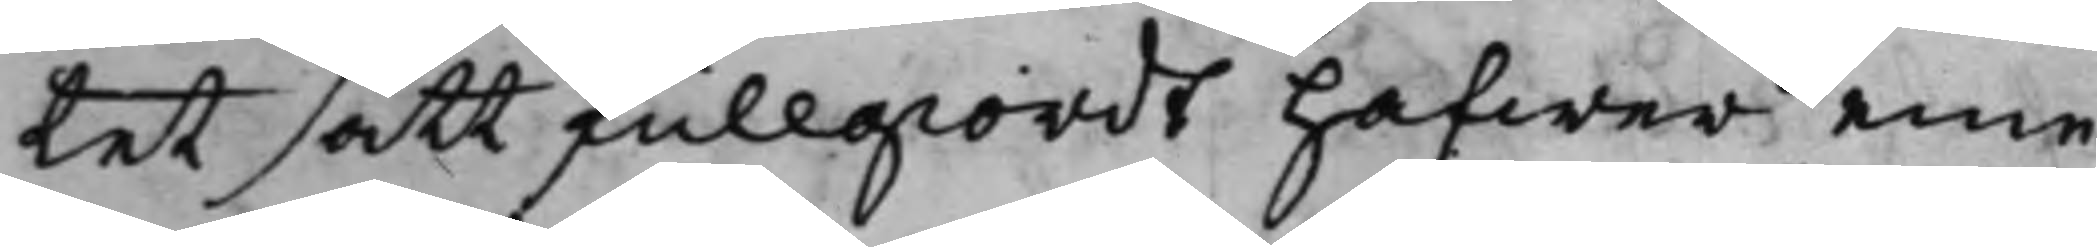tet sätt fullgiordt hafwer eme¬
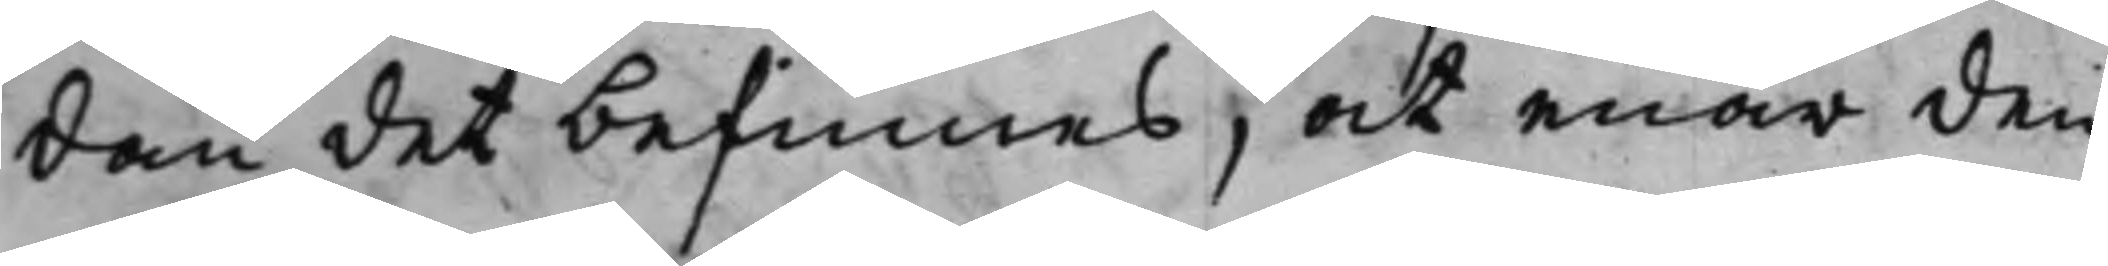dan det befinnes, at enär den
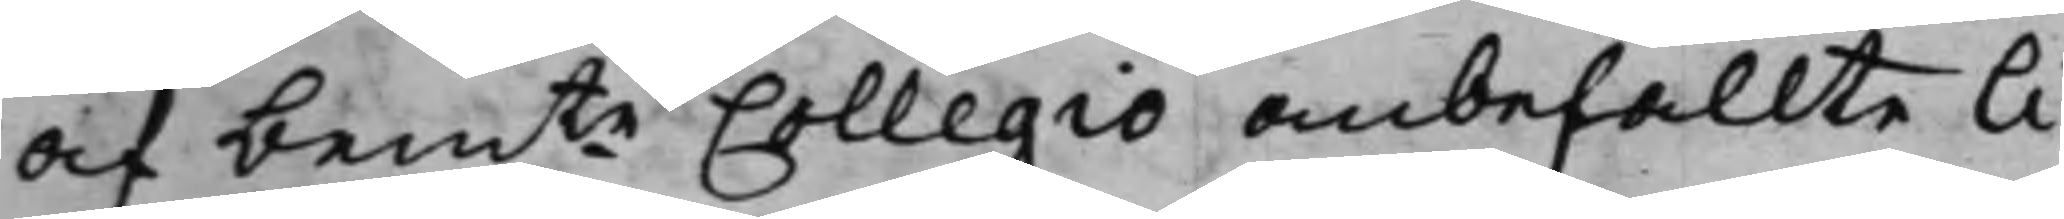af bemte Collegio anbefallte li¬
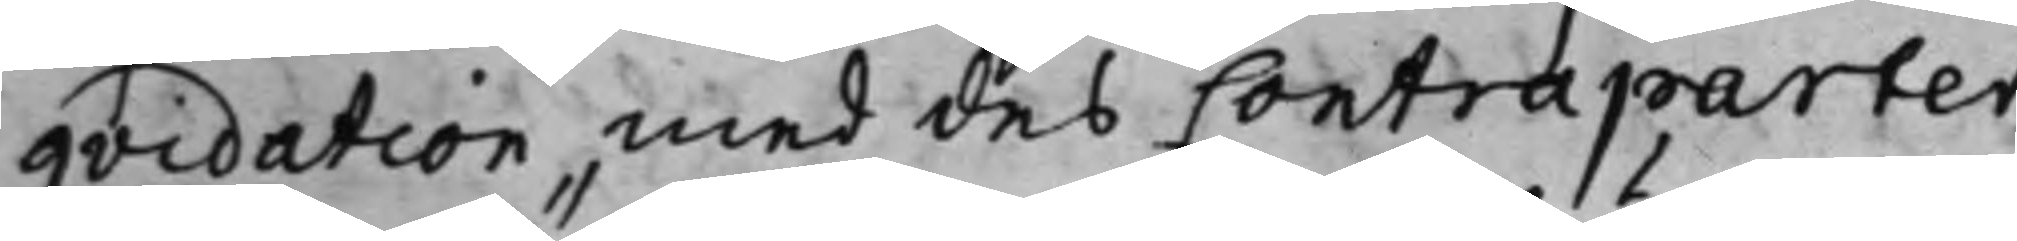qvidation, med des Contraparter
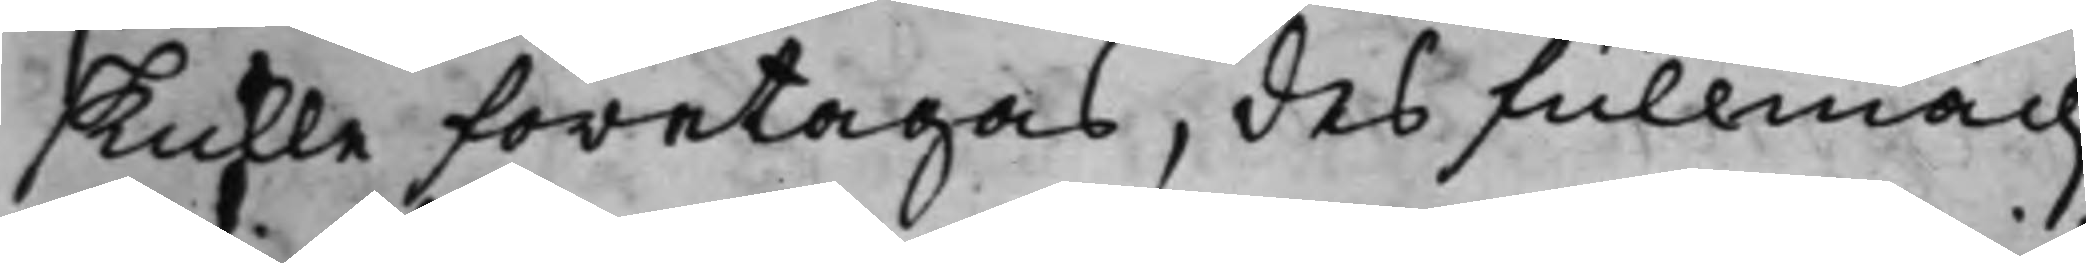skulle företagas, des fullmäch¬
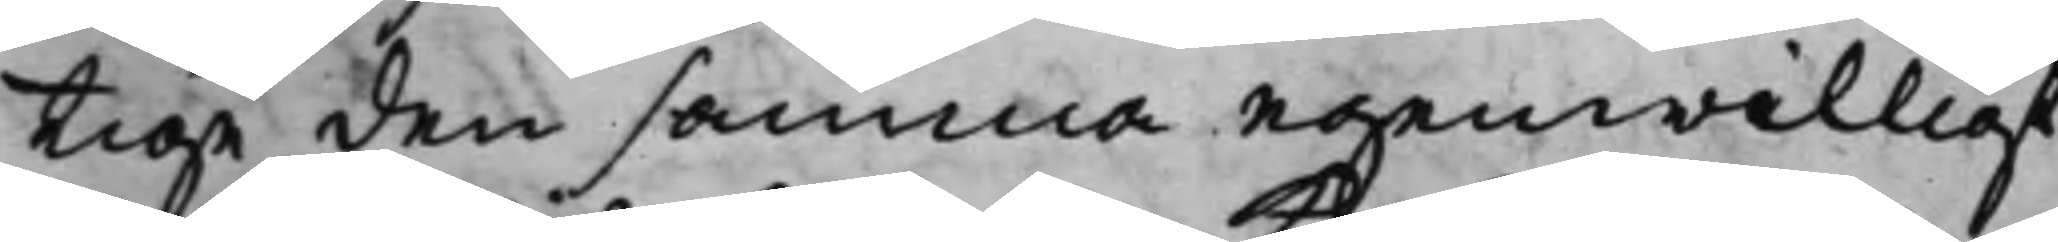tige den samma egenwilligt
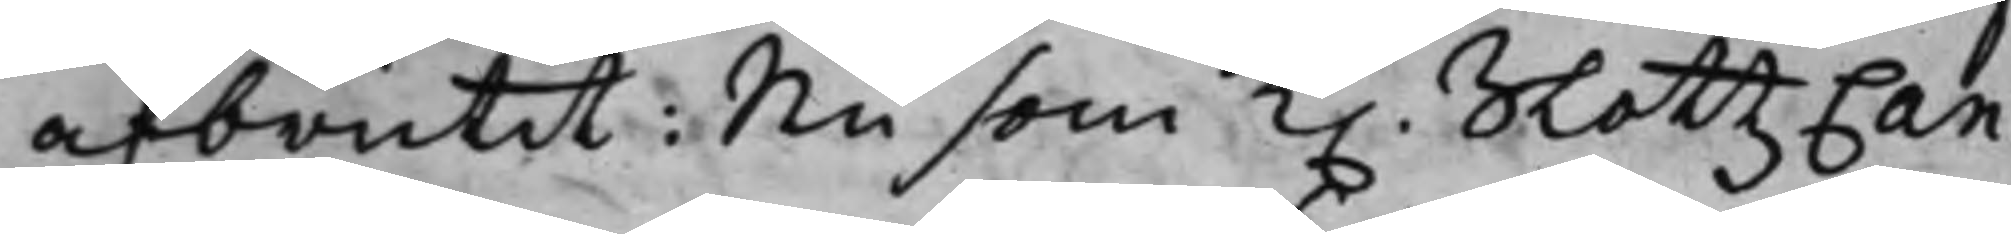afbrutit: Nu som K. SlottzCan¬
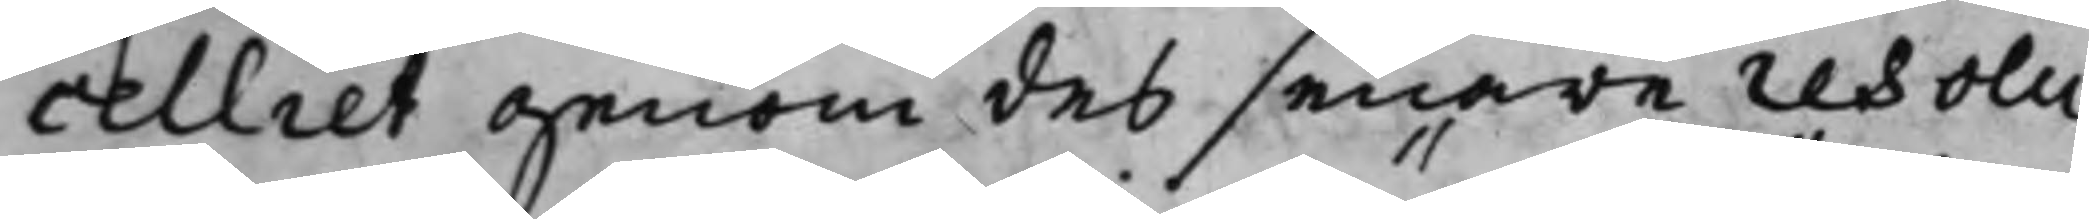celliet genom des senare resolu¬
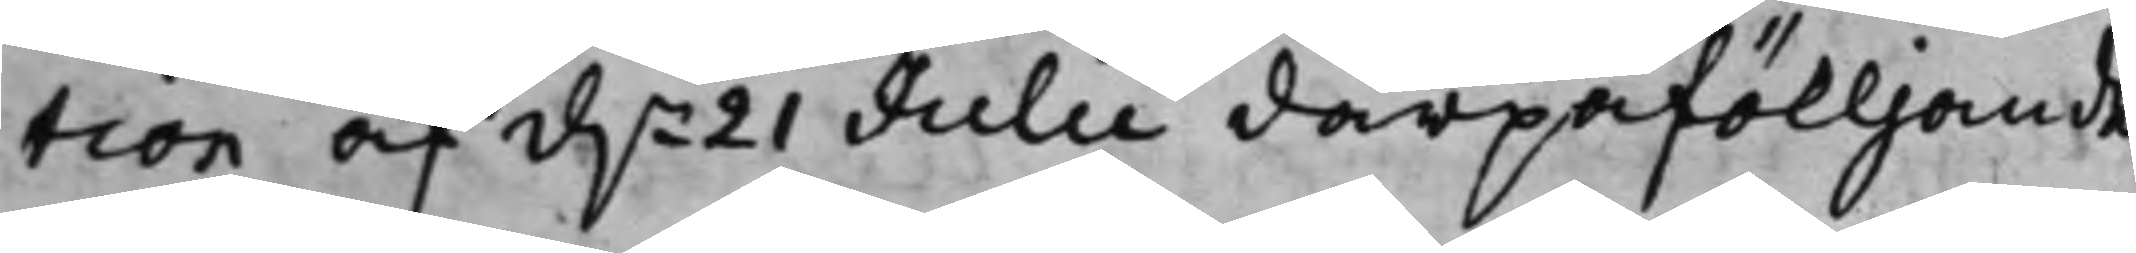tion af d.n 21 Julii därpåfölljande
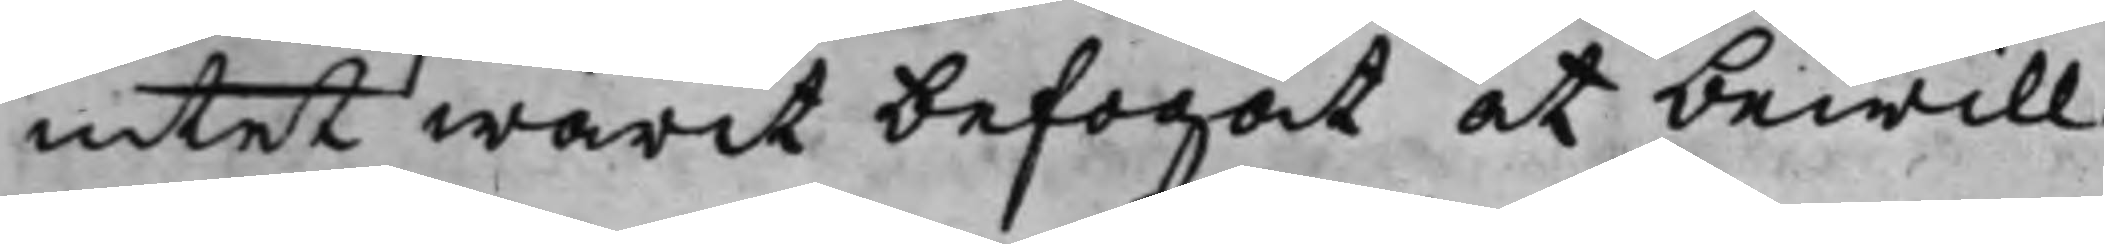intet warit befogat at bewill¬
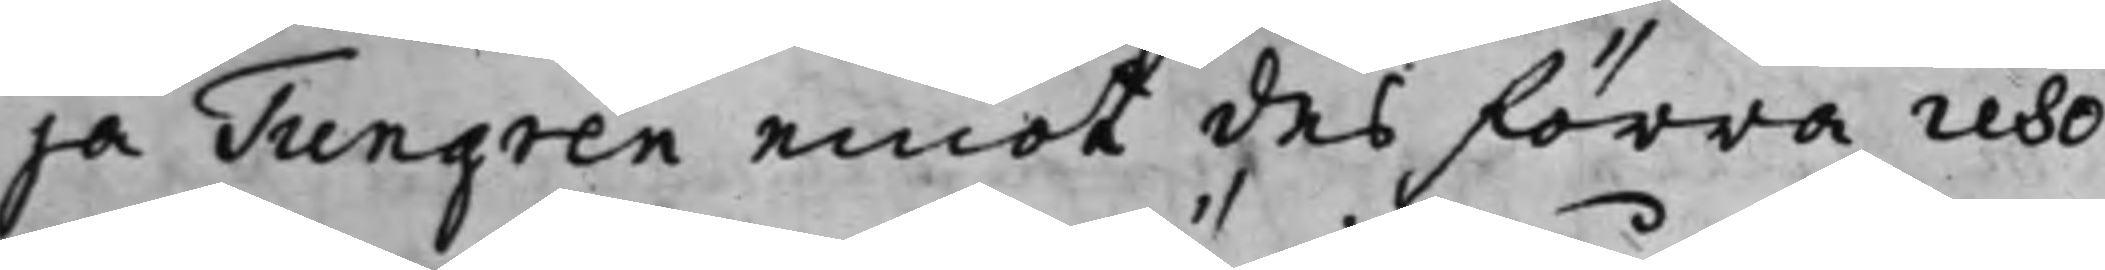ja Tungren emot des förra reso¬
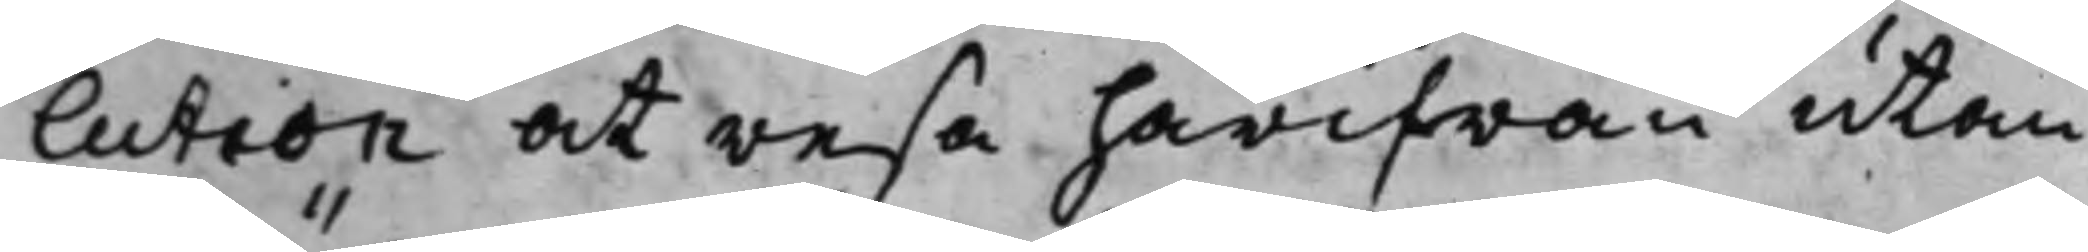lution at resa härifrån utan
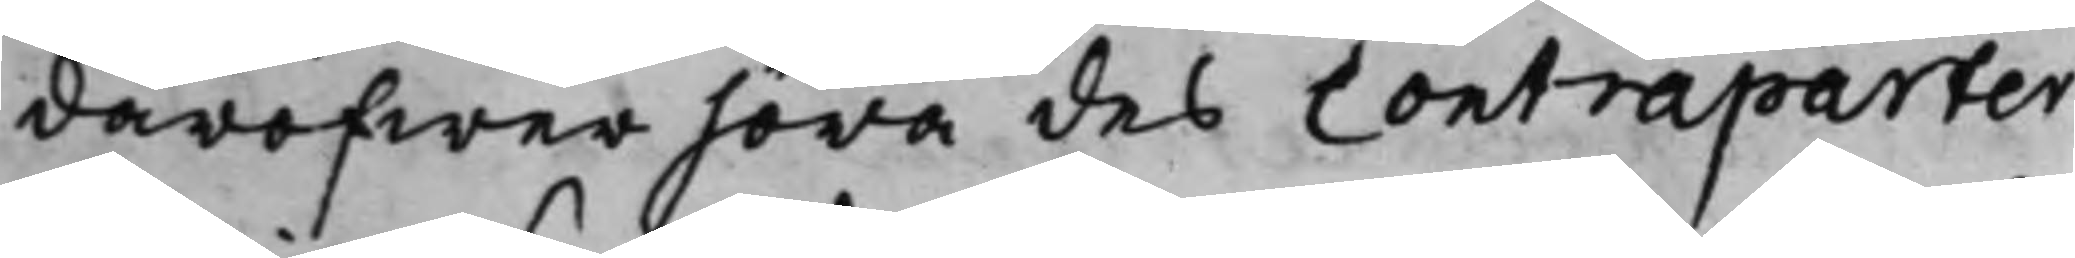däröfwer höra des Contraparter
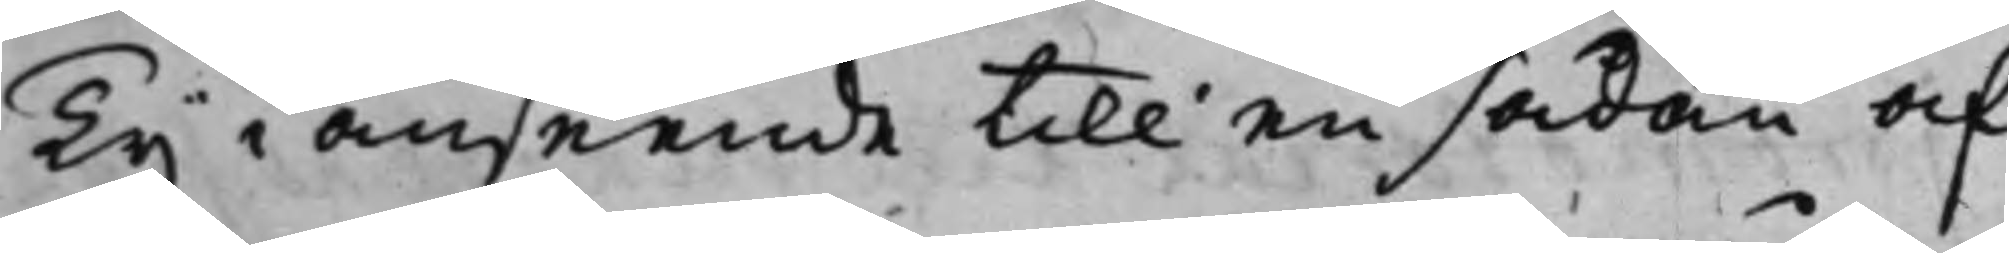Ty i anseende till en sådan af
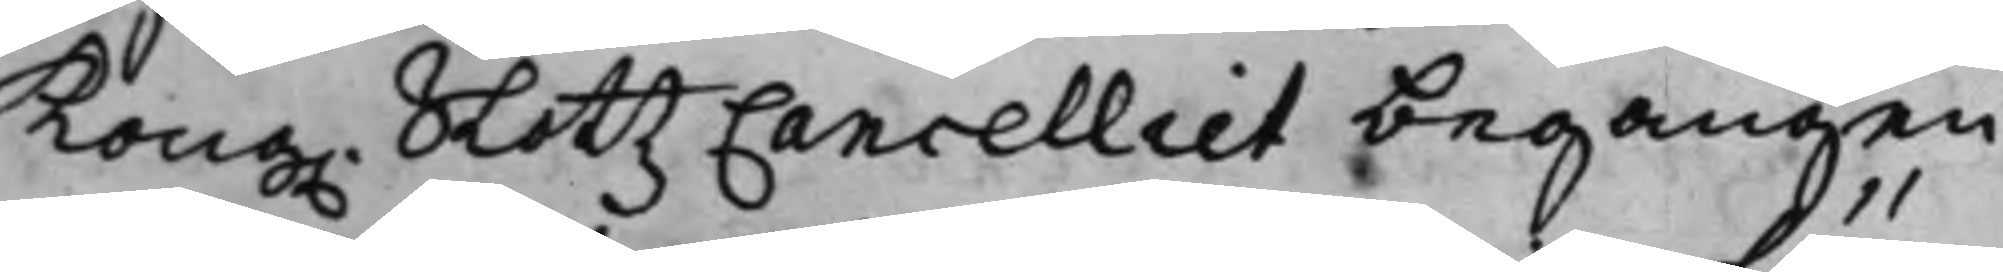Kong. SlottzCancelliet begången
